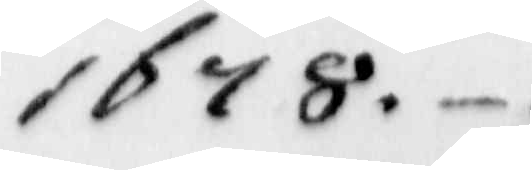1678.
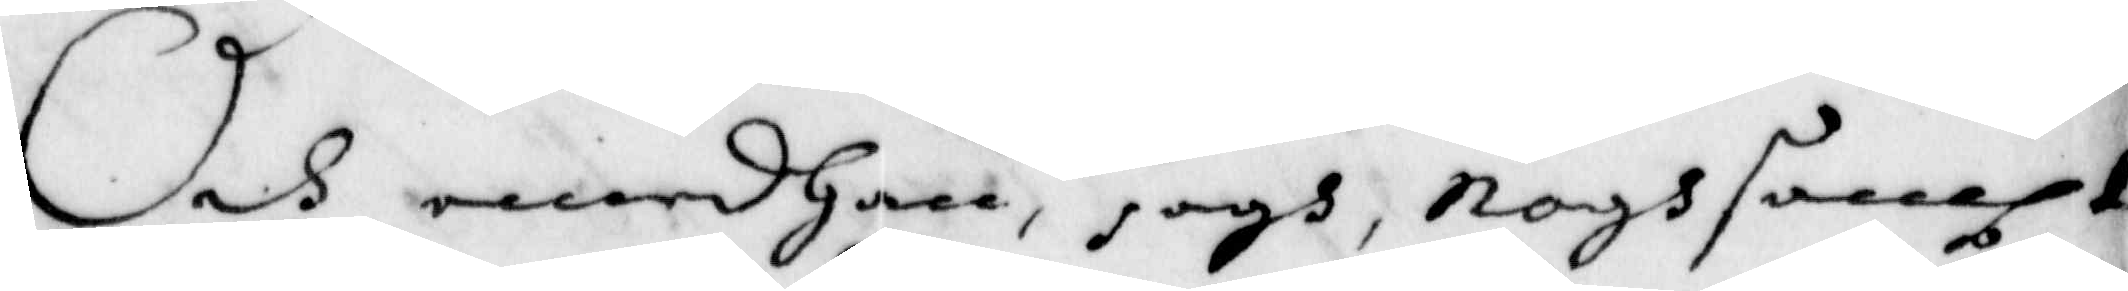Och emedhan, Jagh, noghsampt
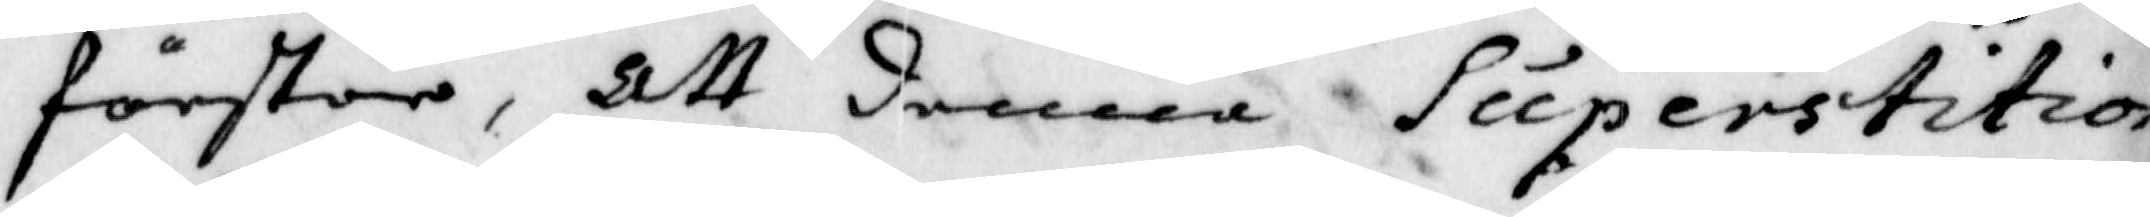förstår, Att denna Superstition,
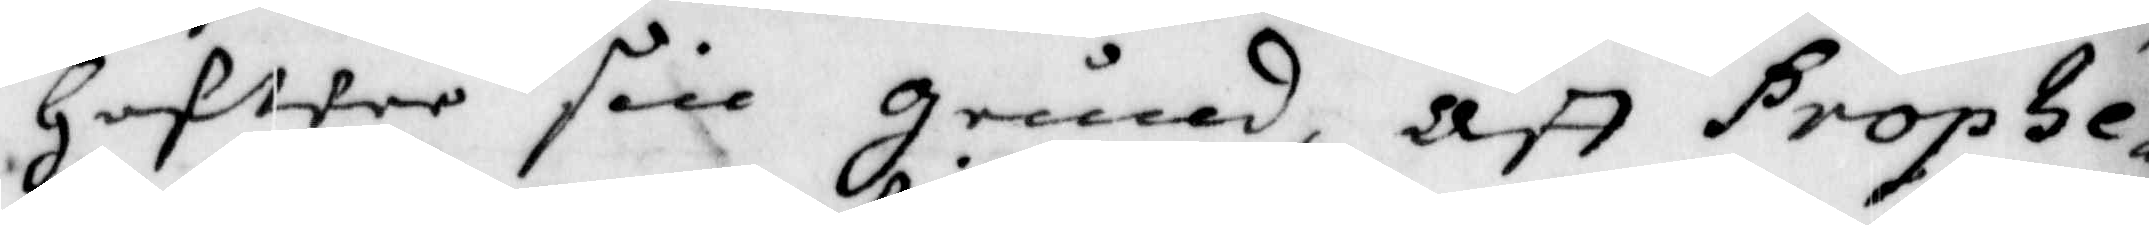Hafwer sin grund, Att Propte¬
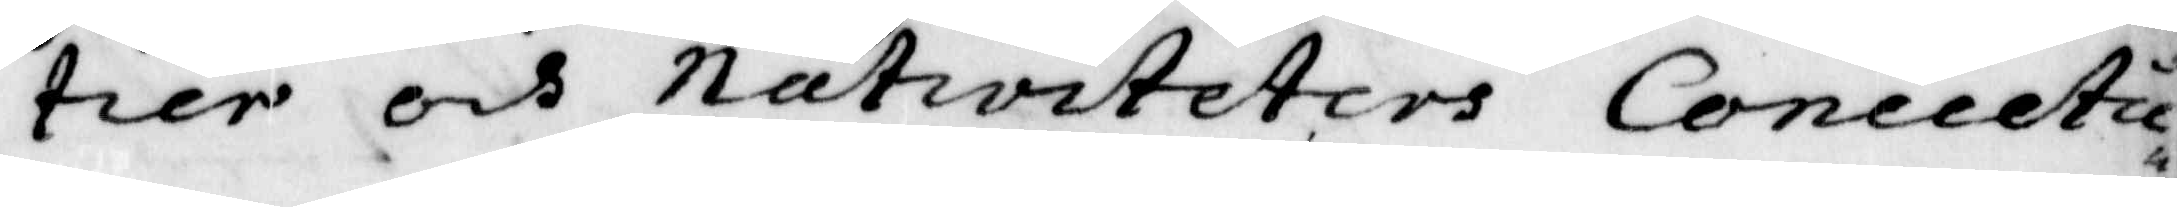tier och nativiteters Concictu¬
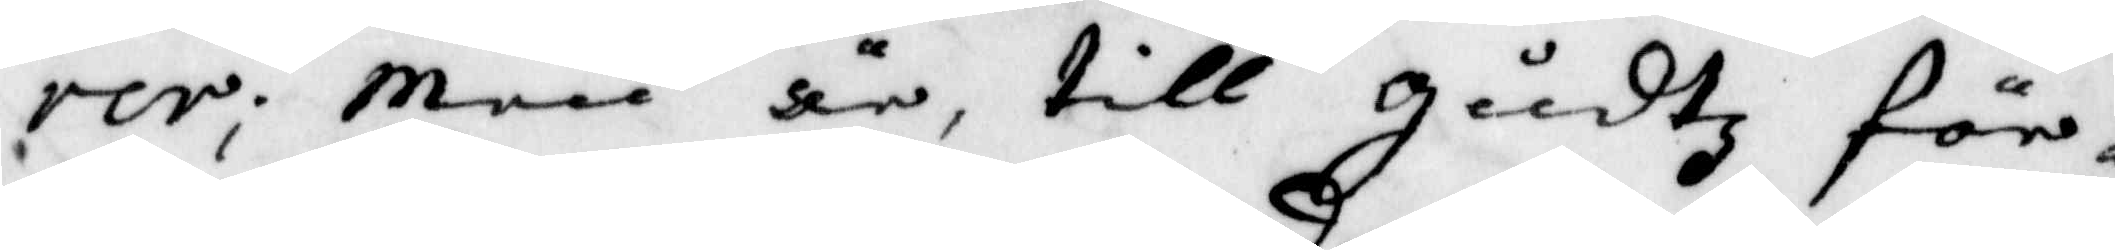rer; Men är till gudtz för¬
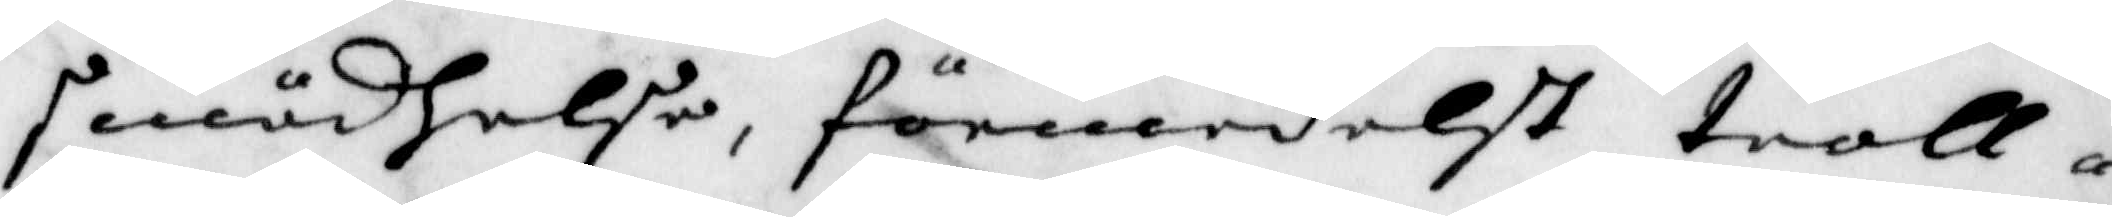smädhelse, förmedelst troll¬
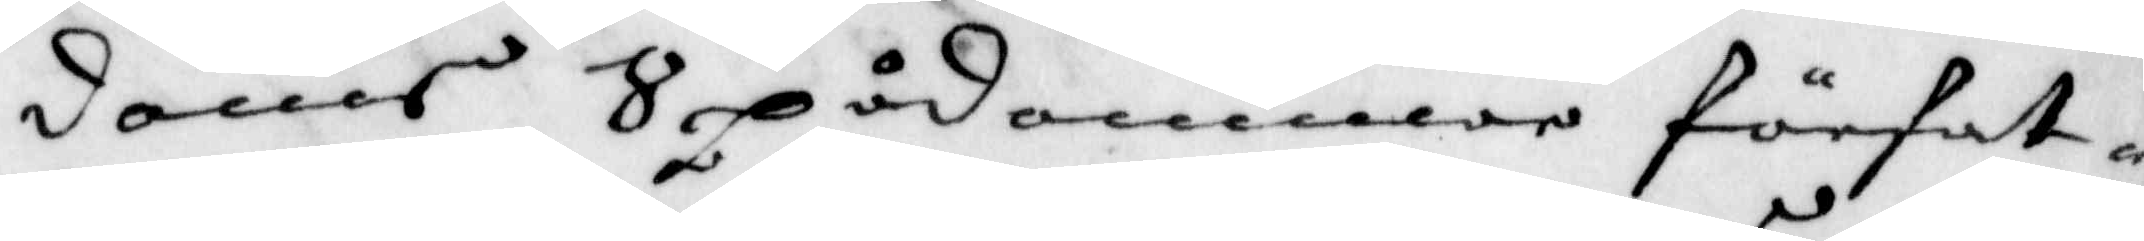domars Spådommar förfat¬
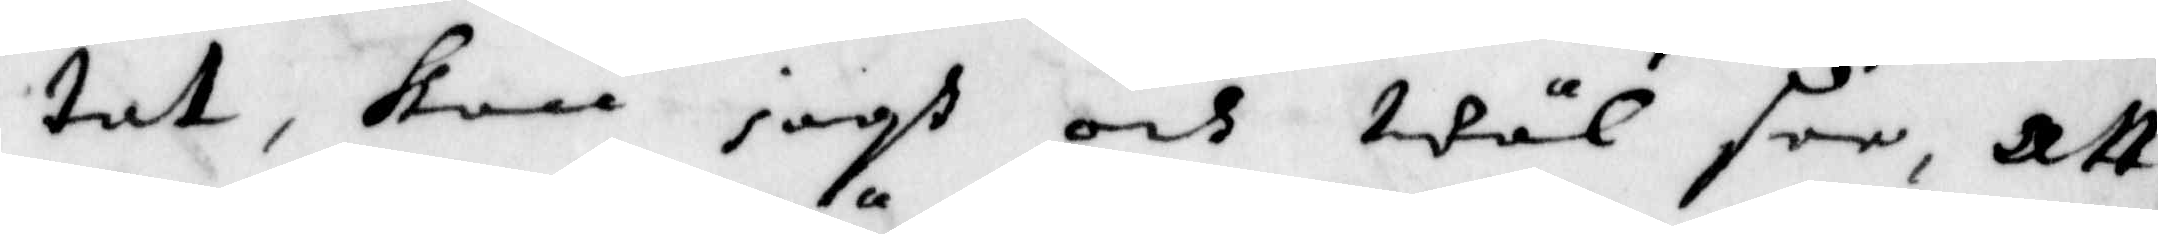tat, kan iagh och wäl see, att
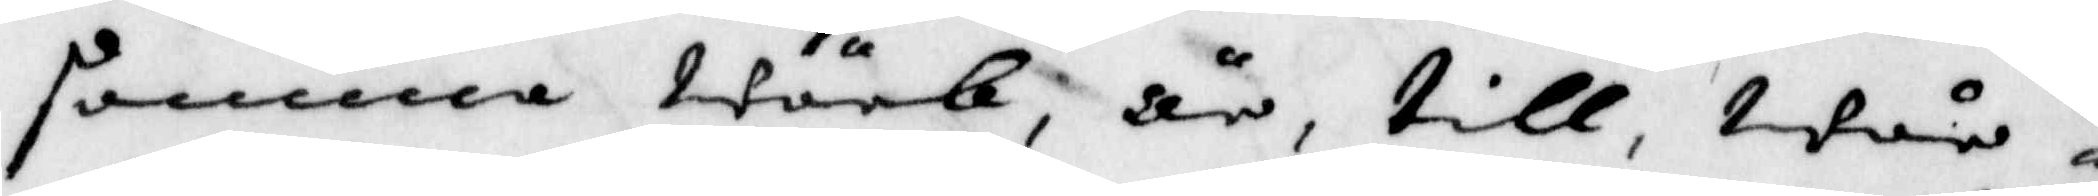samma wärk, är, till, wår,
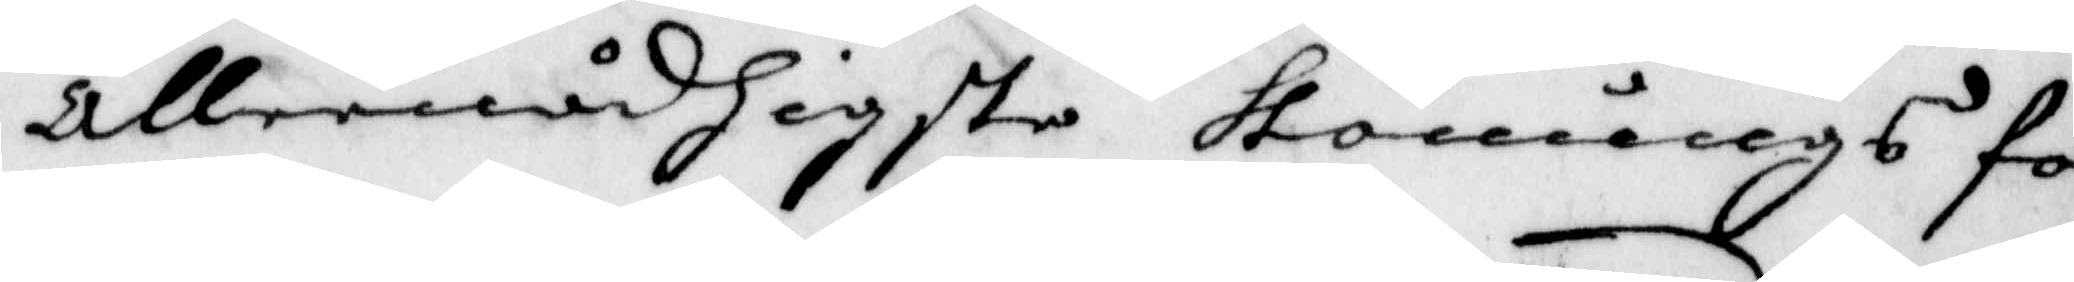allernådigste Konungs för¬
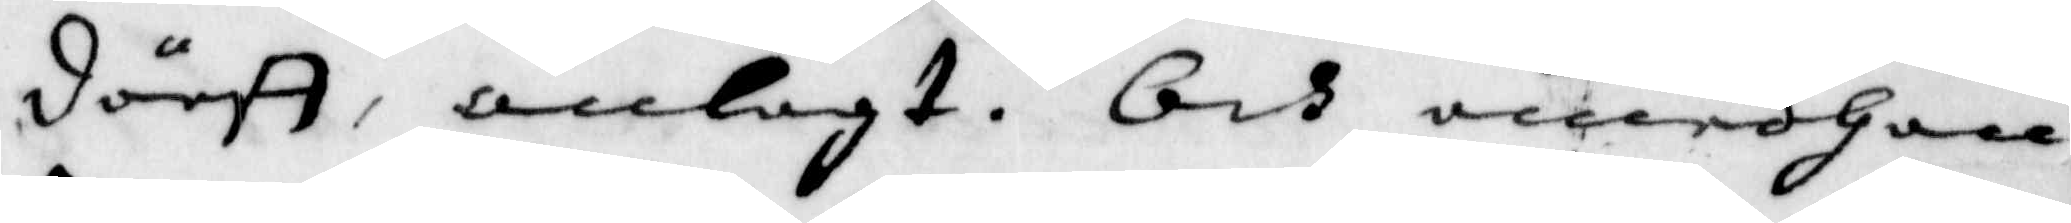därff, anlagt. Och emedhan
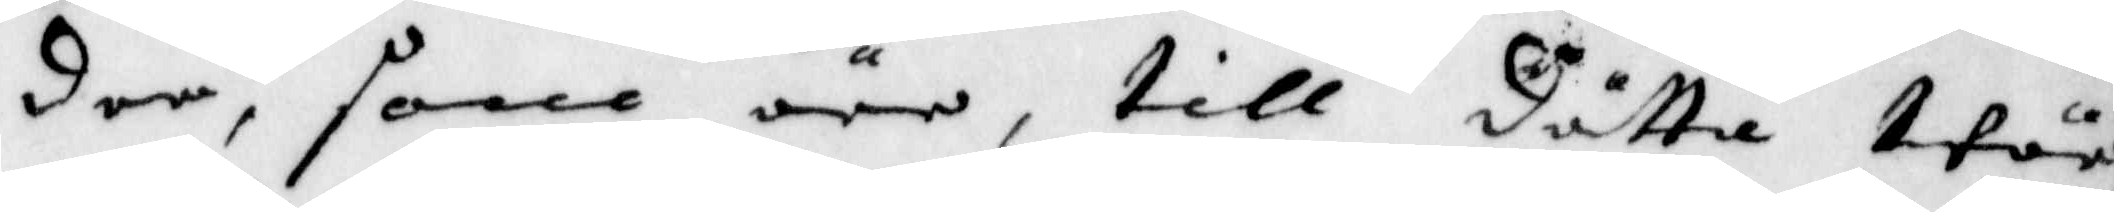dem, som äre, till dätta wär¬
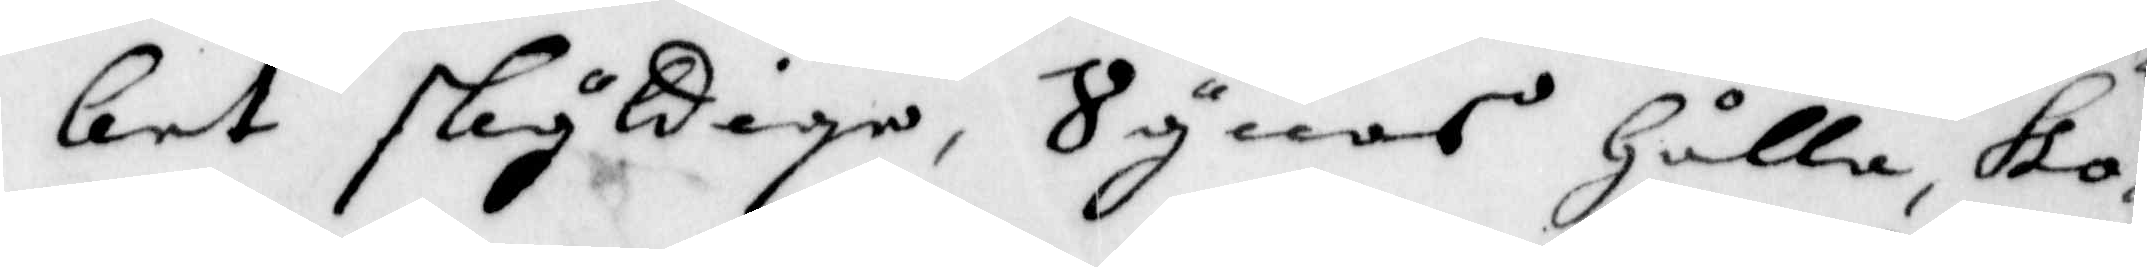ket skyldige, Synes Hålla Ko¬
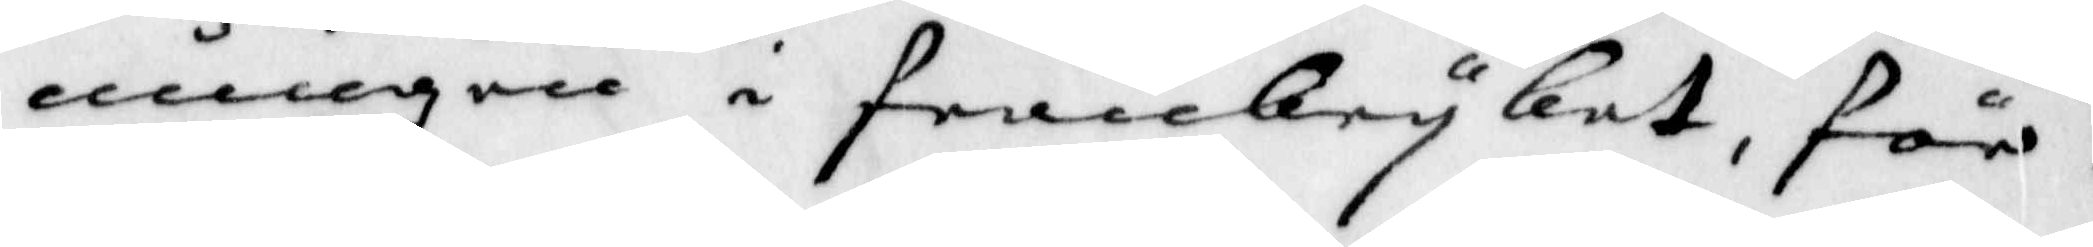nungen i frambryket, för
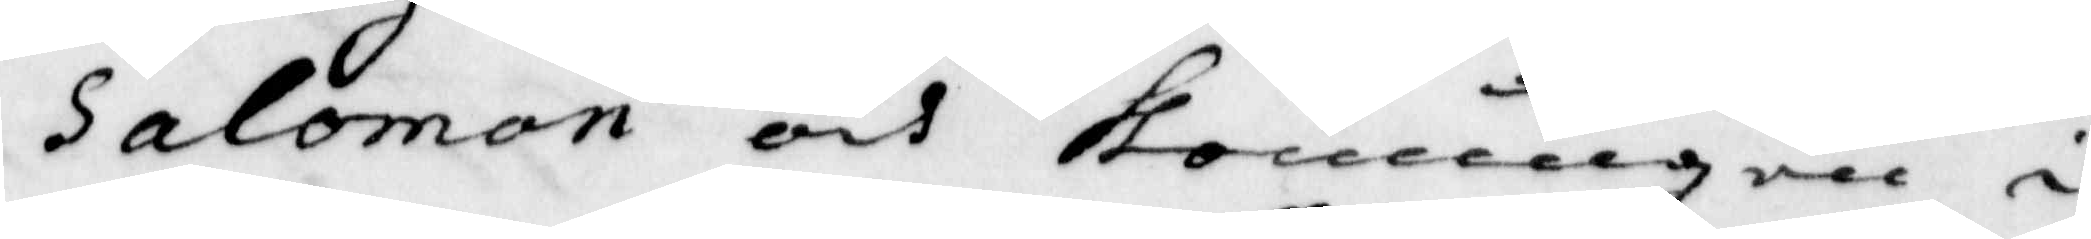Salomon och Konungen i
